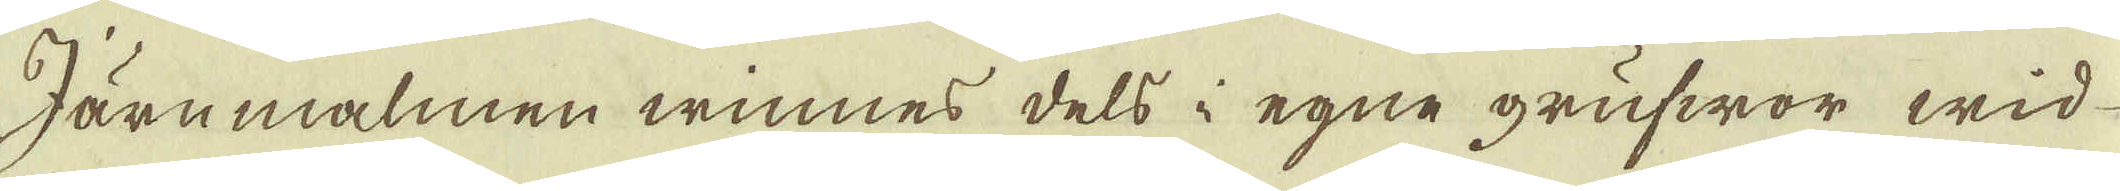Järnmalmen winnes dels i egne grufwor wid
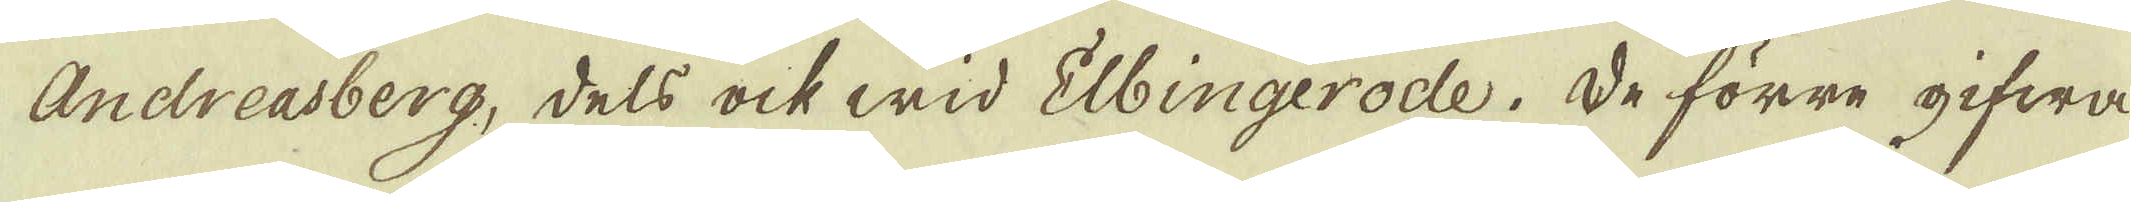Andreasberg, dels och wid Elbingerode. De förre gifwa
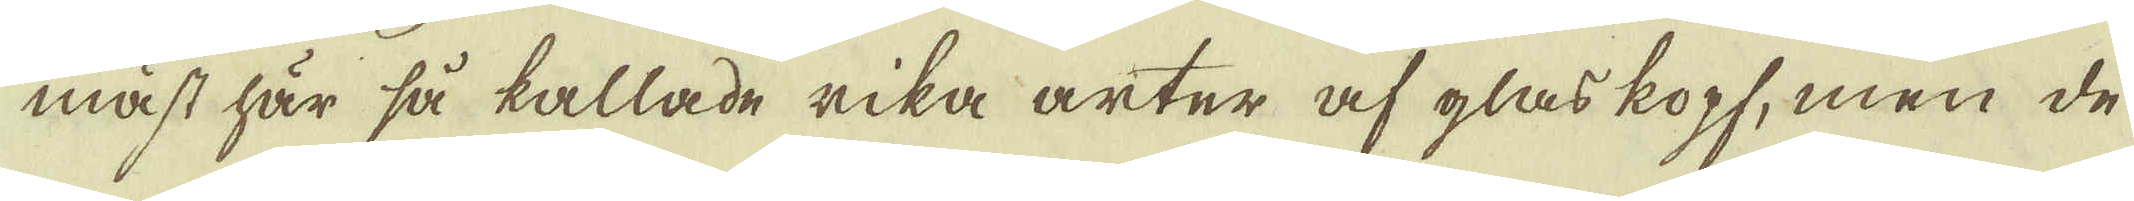mäst här så kallade rika arter af glaskopf, men de
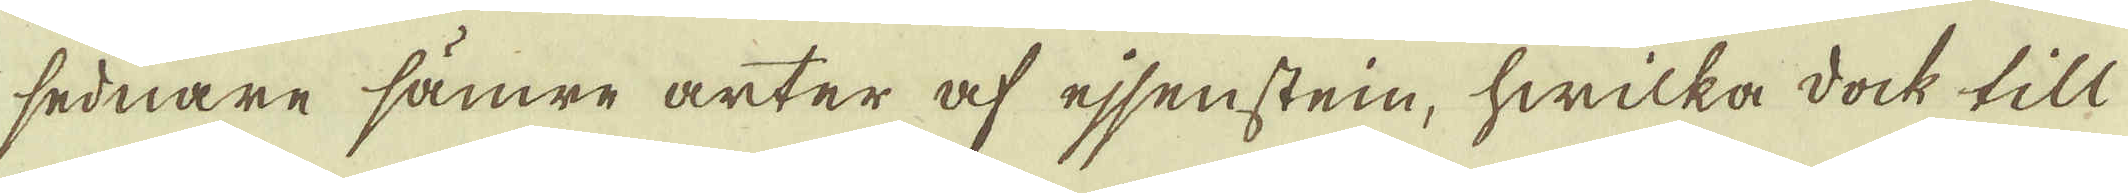sednare sämre arter af ejsensten, hwilka dock till
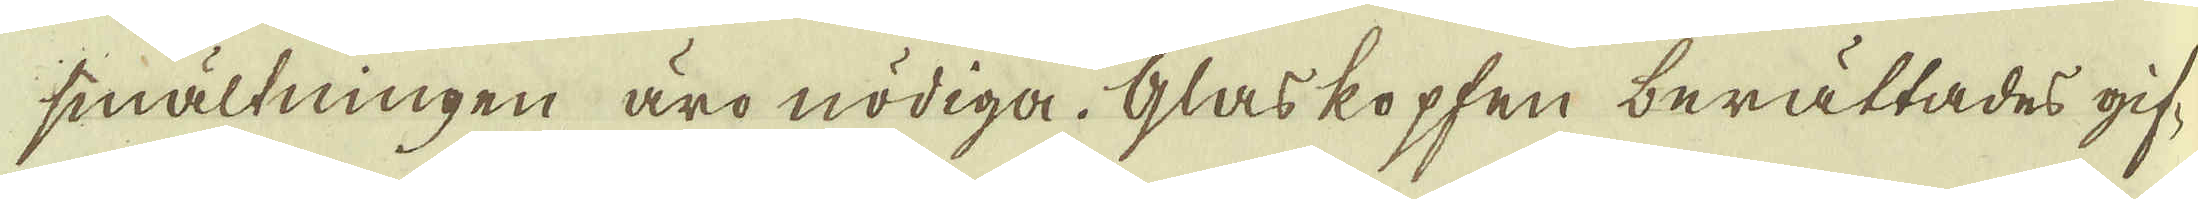smältningen äro nödiga. Glaskopfen berättades gif-
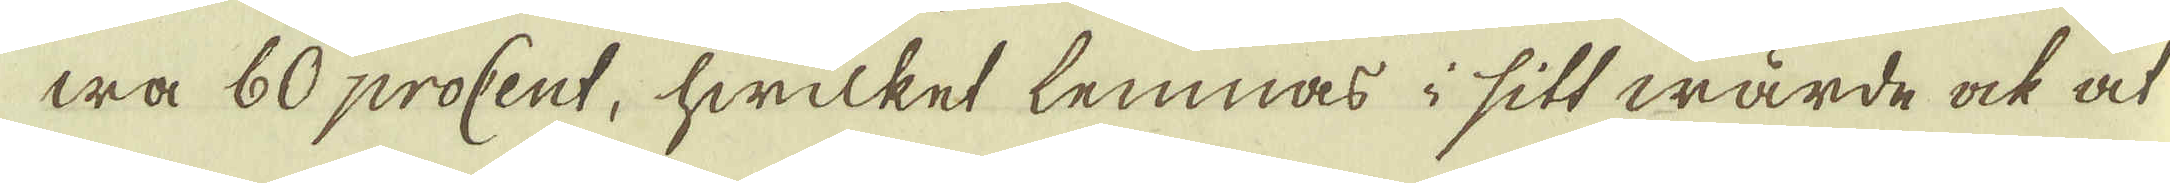wa 60 procent, hwilket lemnas i sitt wärde ock at
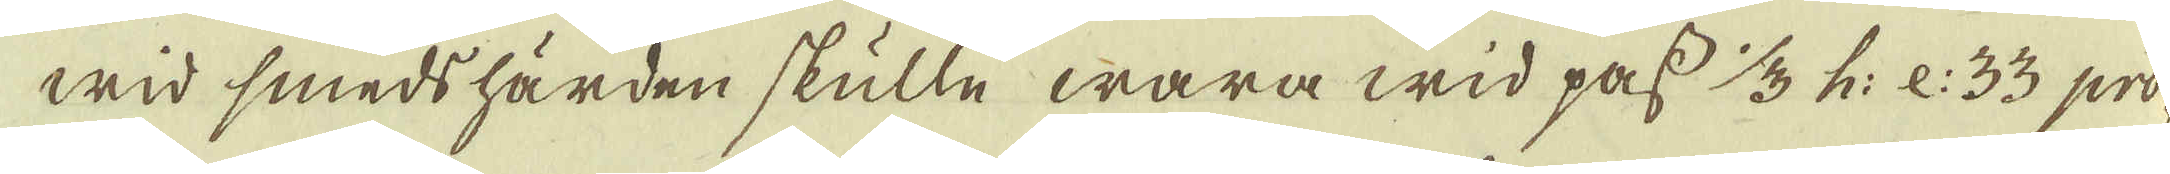wid smedshärden skulle wara wid pass 1/3 h: e: 33 pro-
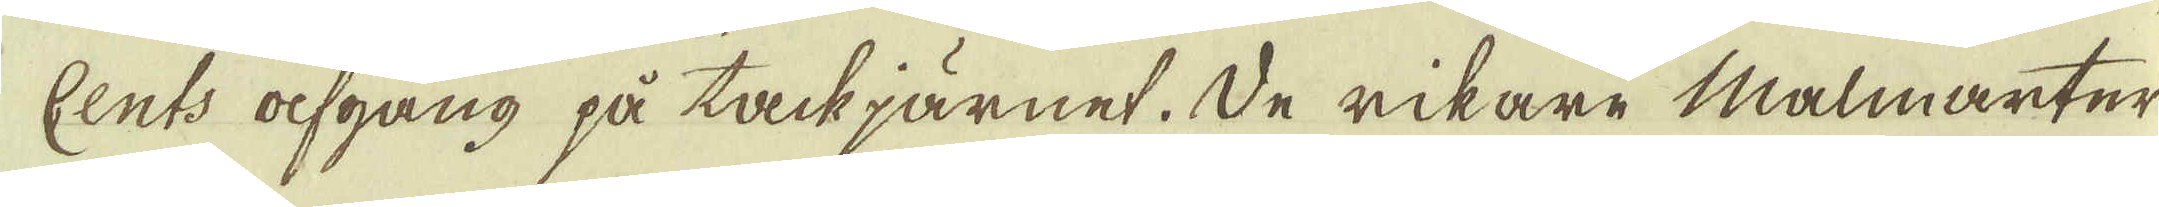Cents afgång på tackjärnet. De rikare malmarter
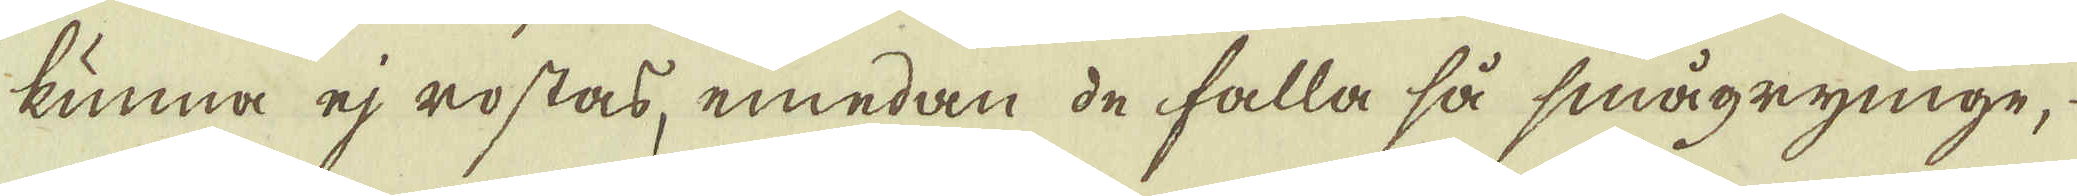kunna ej rostas, emedan de falla så smågrynige,
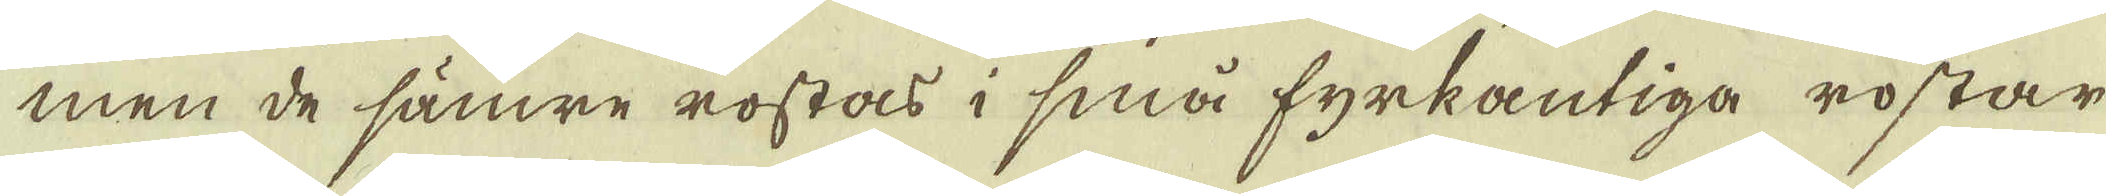men de sämre rostas i små fyrkantiga rostar
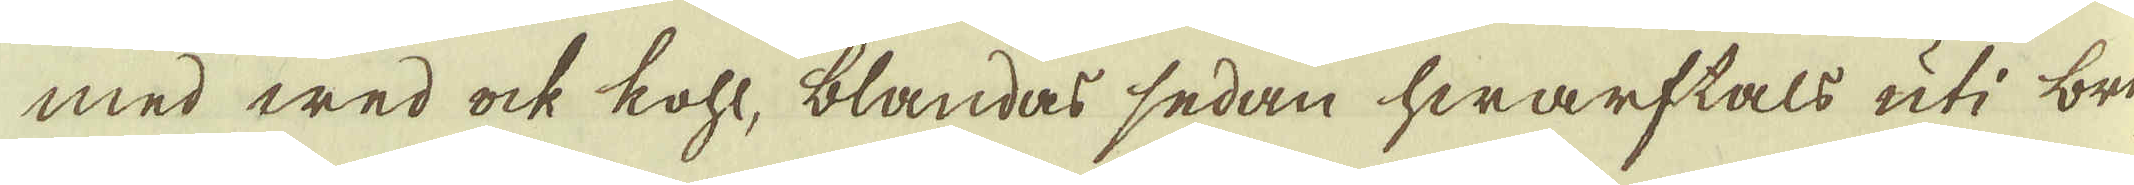med wed ock kohl, blandas sedan hwarftals uti bri-
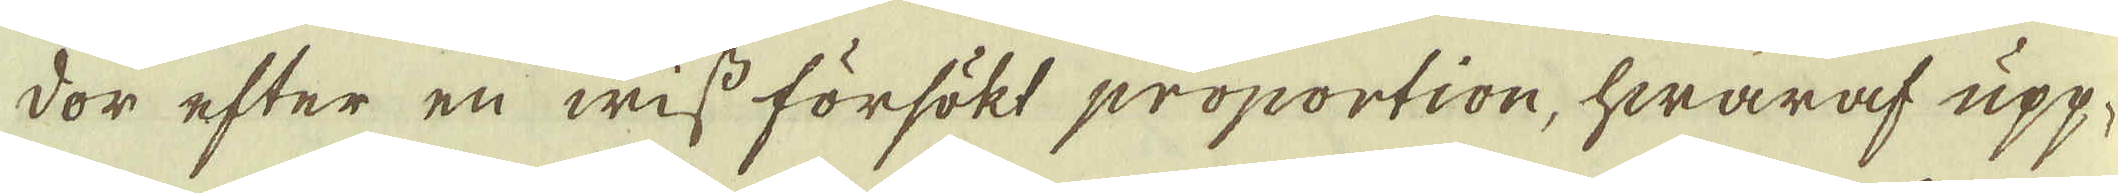dor efter en wiss försökt proportion, hwaraf upp-
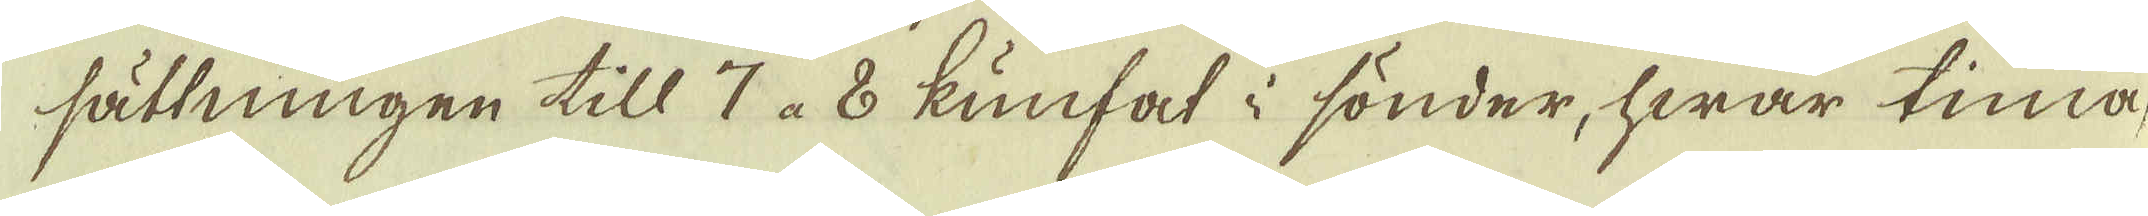sättningen till 7 à 8 kunfat i sönder, hwar tima,
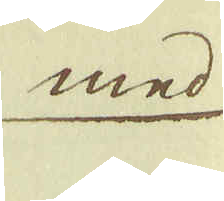med
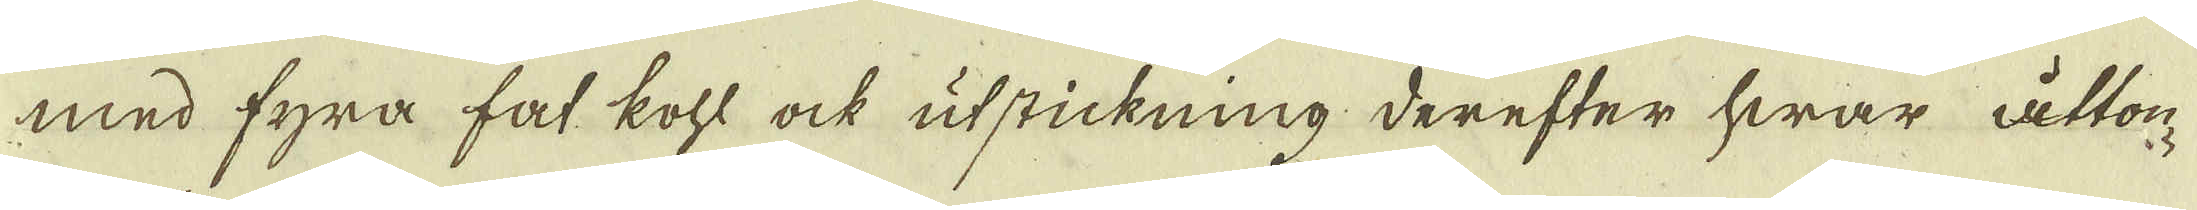med fyra fat kohl ock utstickning derefter hwar åttom
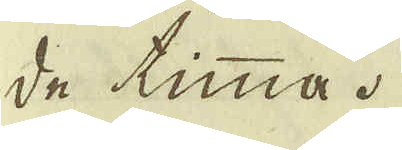de timma.
